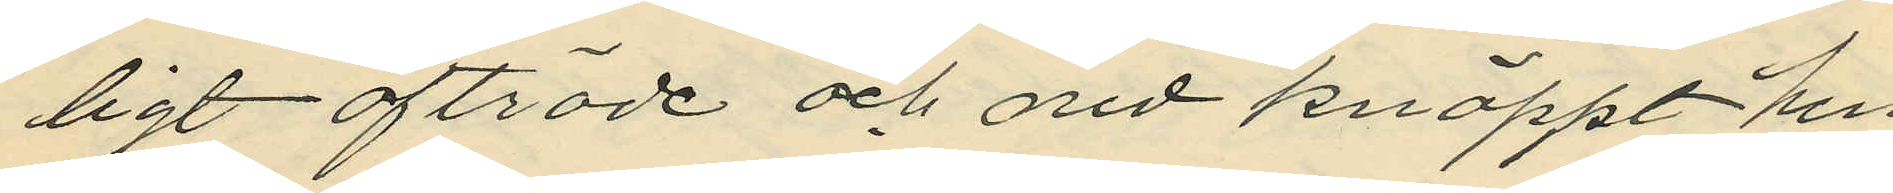ligt afträde och ned knäppt hen
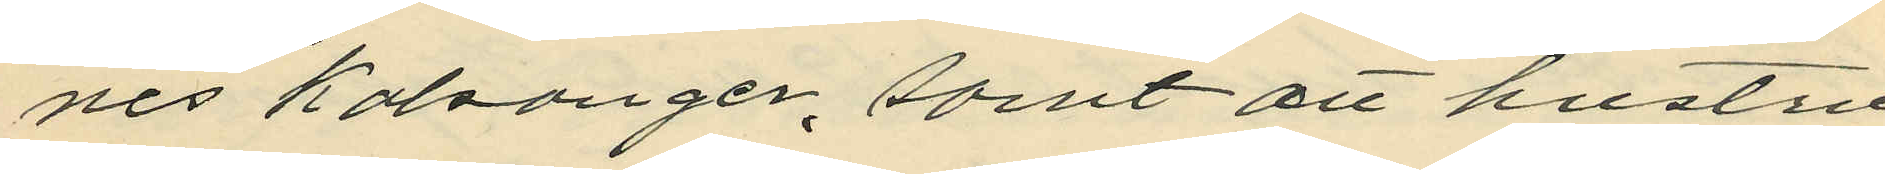nes Kalsonger, samt att hustru
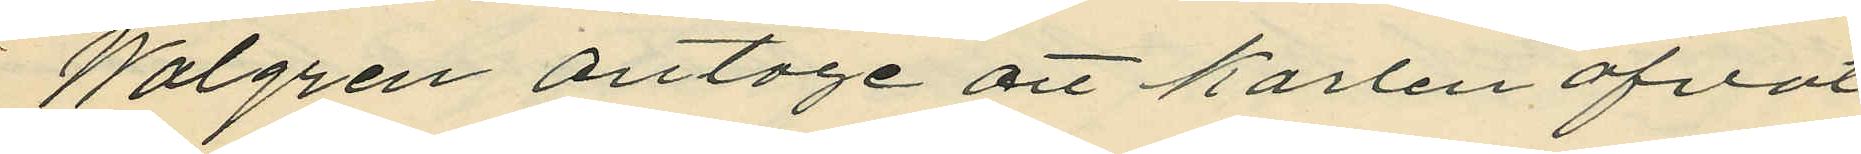Walgren antoge att Karlen öfvat
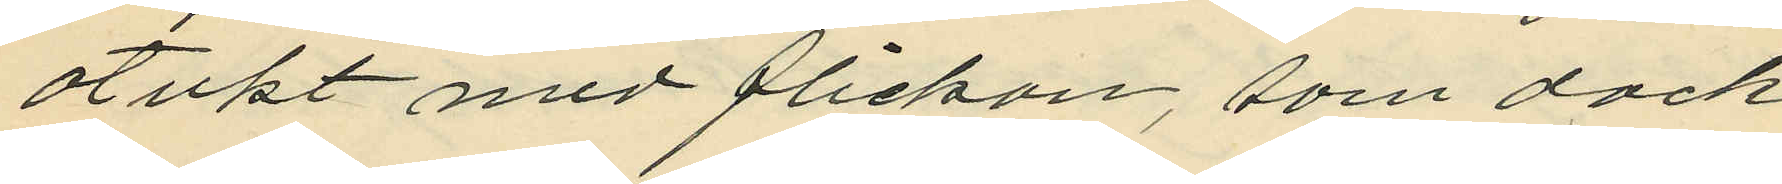otukt med flickan, som dock
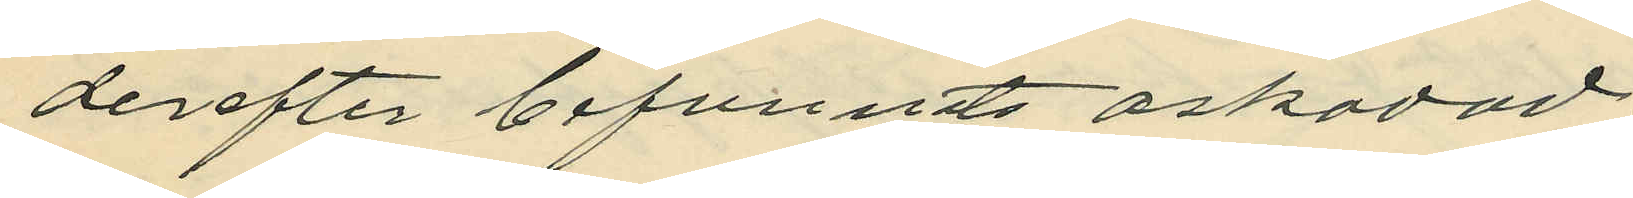derefter befunnits oskadad.
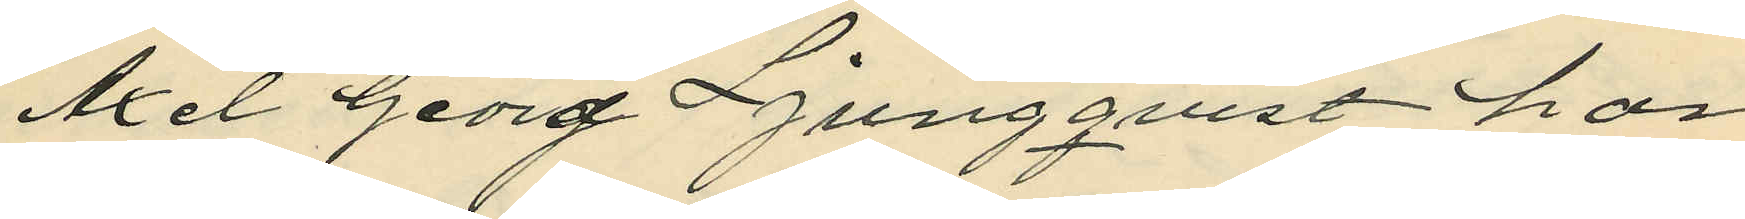Axel Georg Ljungqvist har
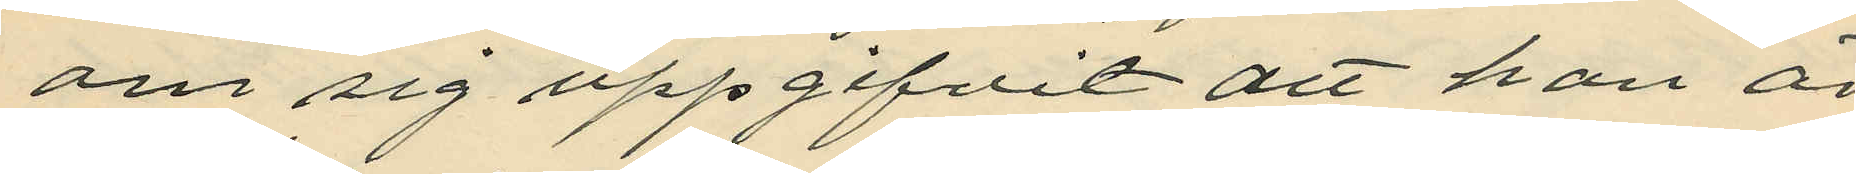om sig uppgifvit att han är
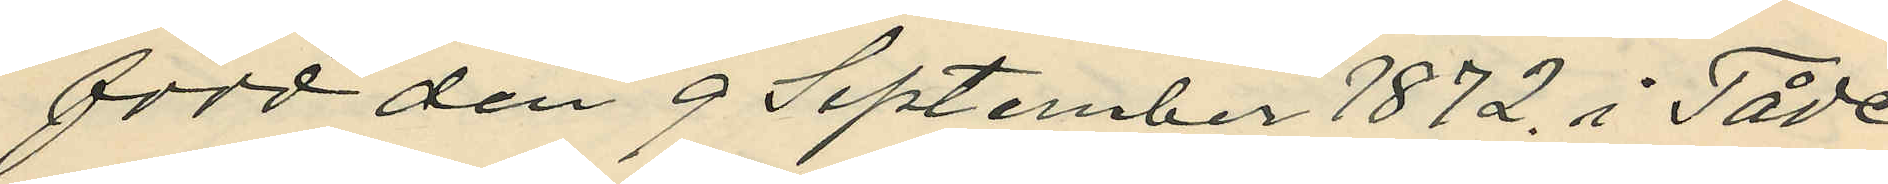född den 9 September 1872. i Tåde
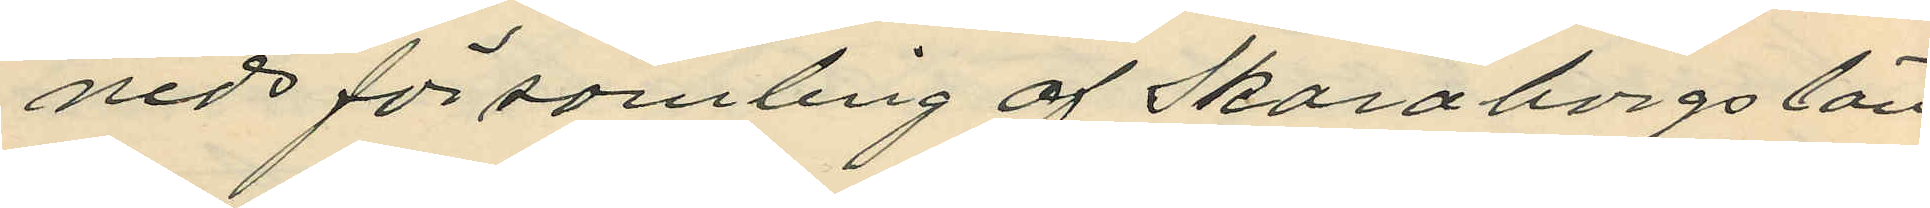neds församling af Skaraborgs län
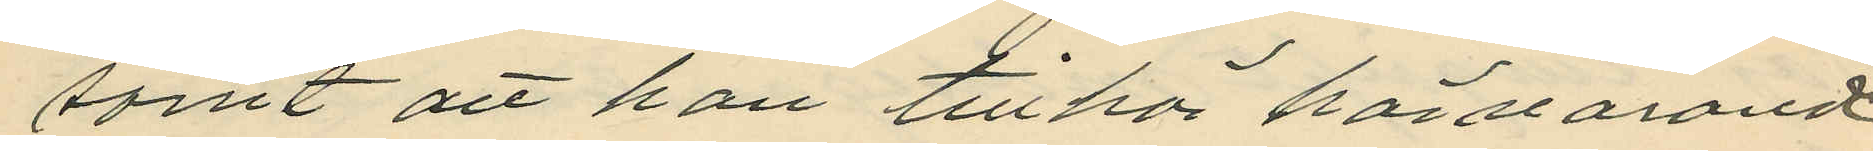samt att han tillhör härvarande
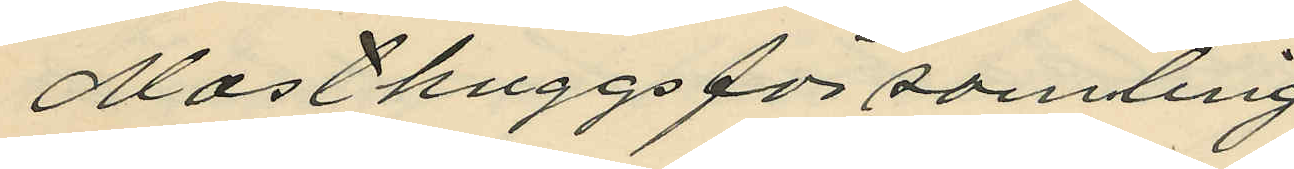Masthuggsförsamling
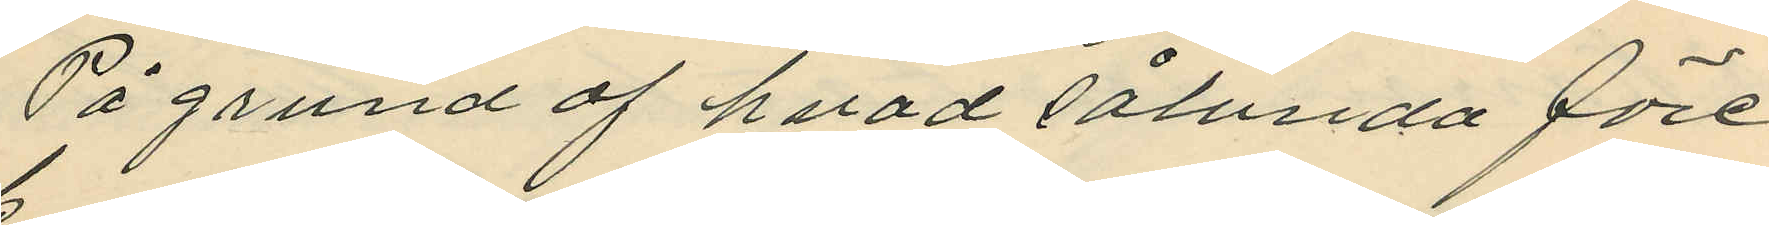På grund af hvad sålunda före¬
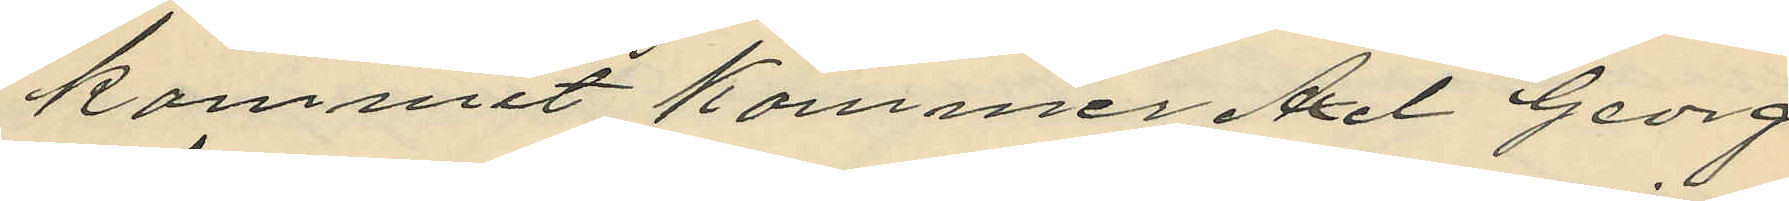kommit kommer Axel Georg
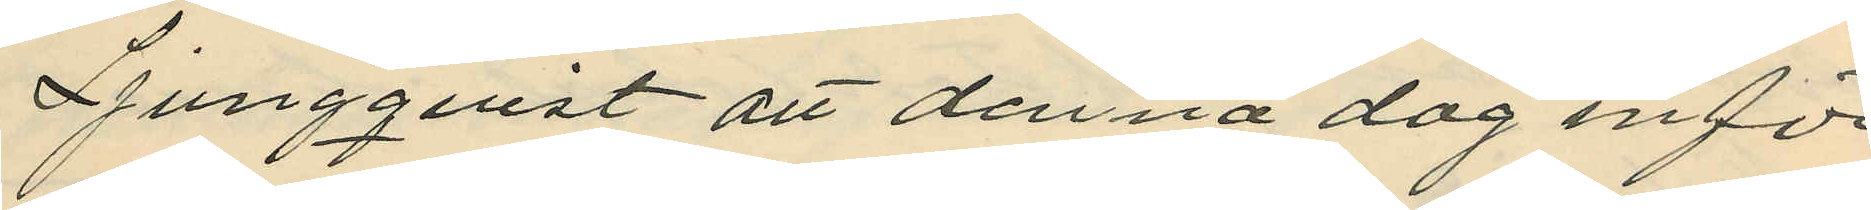Ljungqvist att denna dag inför
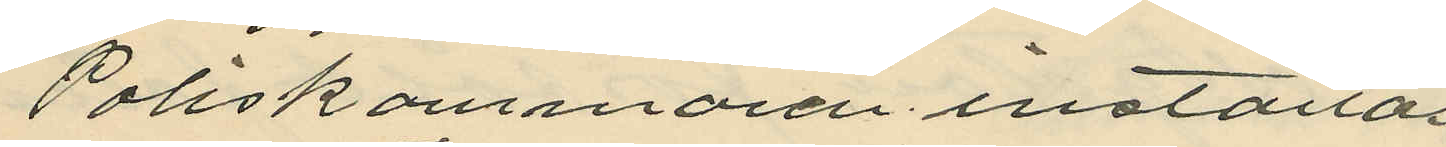Poliskammaren inställas
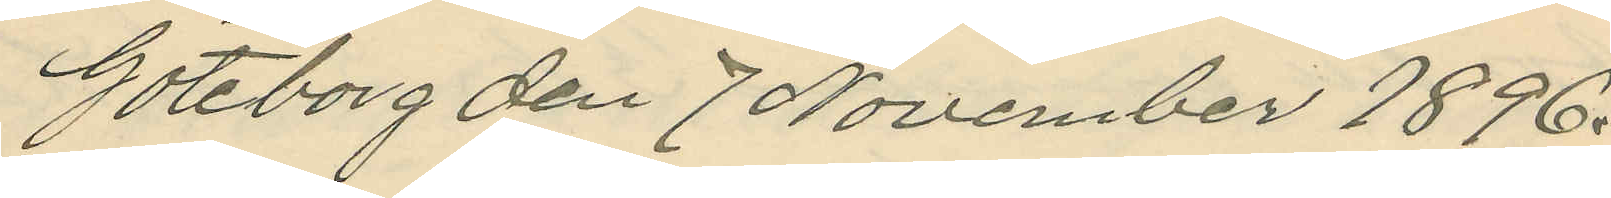Göteborg den 7 November 1896.
